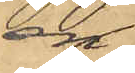en
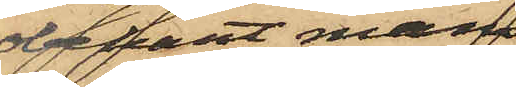obekant mans¬
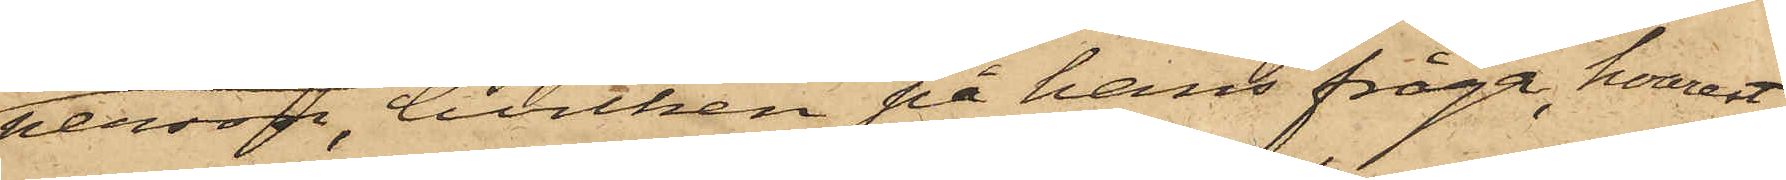person, hvilken på hans fråga, hvarest
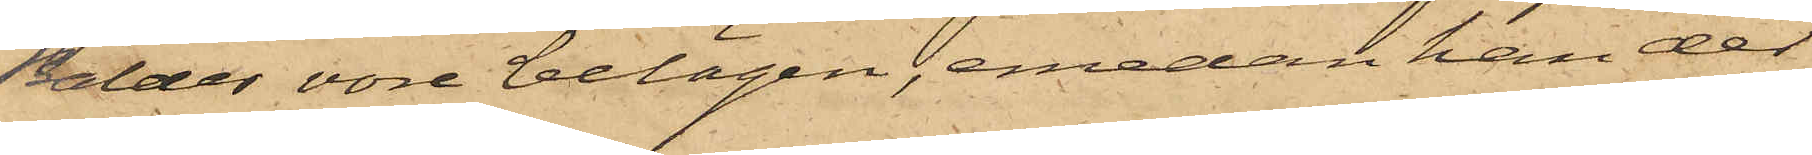Balder vore belägen, emedan han der
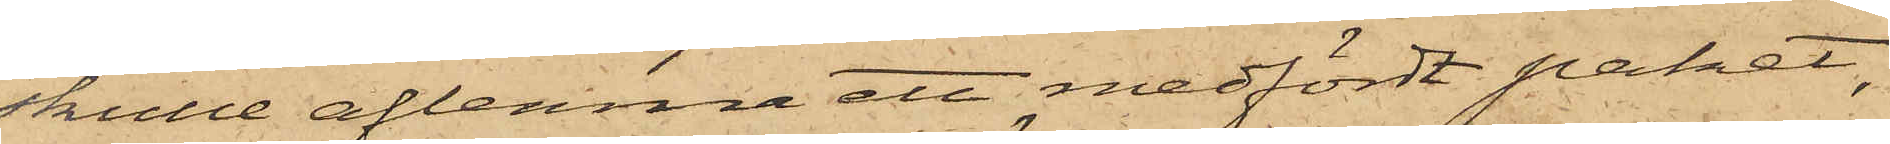skulle aflemna ett medfördt paket,
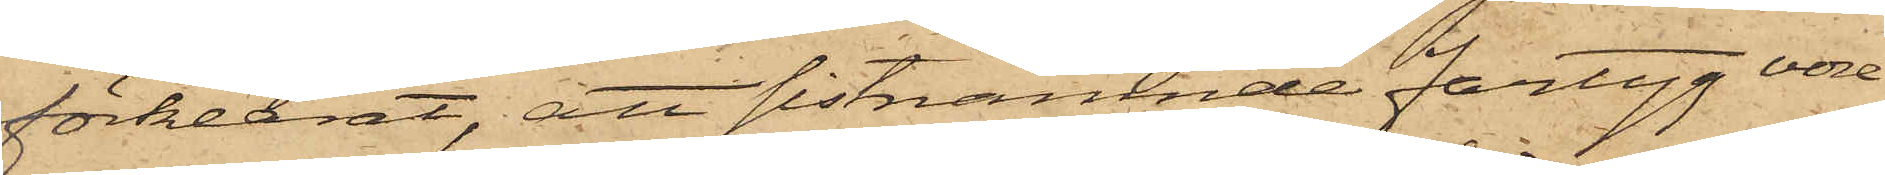förklarat, att sistnämnde fartyg vore
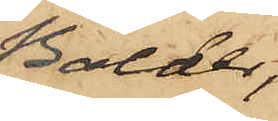Balder;
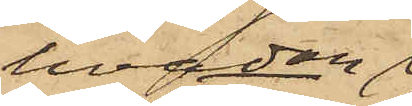hvadan
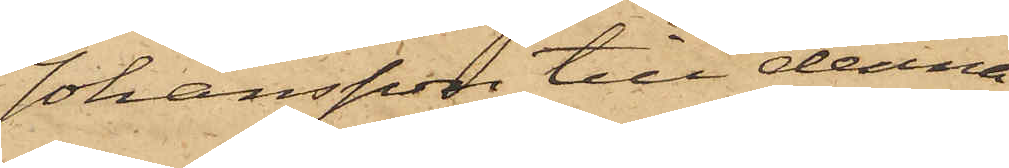Johansson till denna
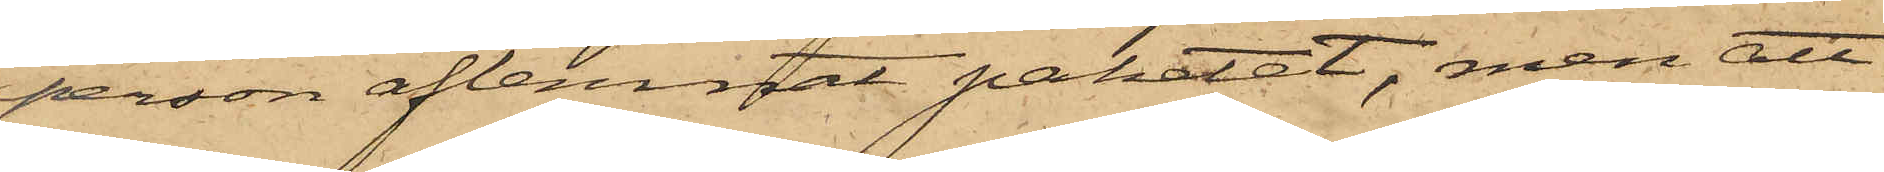person aflemnat paketet, men att
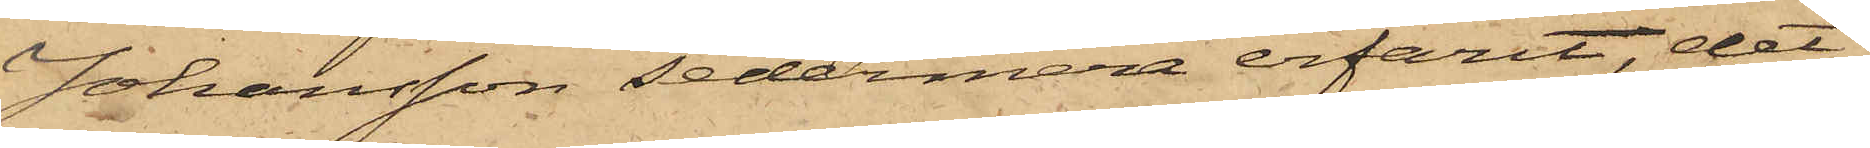Johansson sedermera erfarit, det
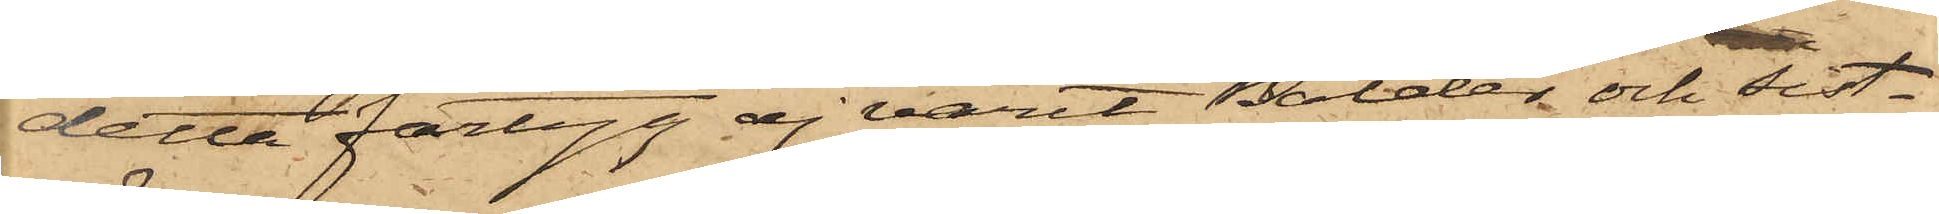detta fartyg ej varit Balder och sist¬
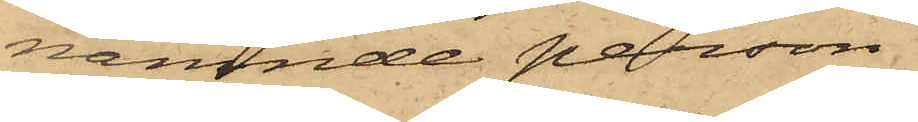nämnde person
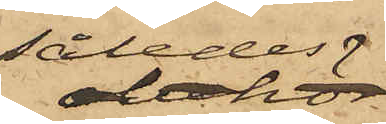således
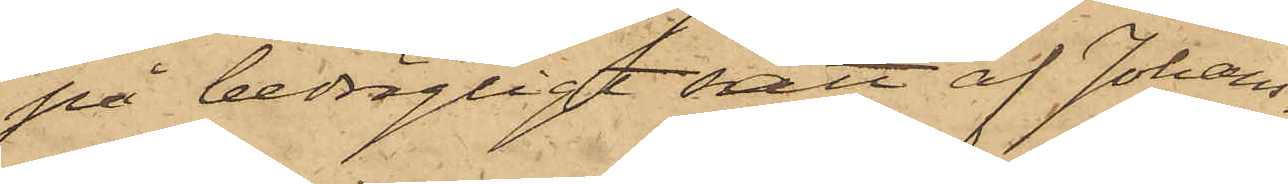på bedrägligt sätt af Johans¬
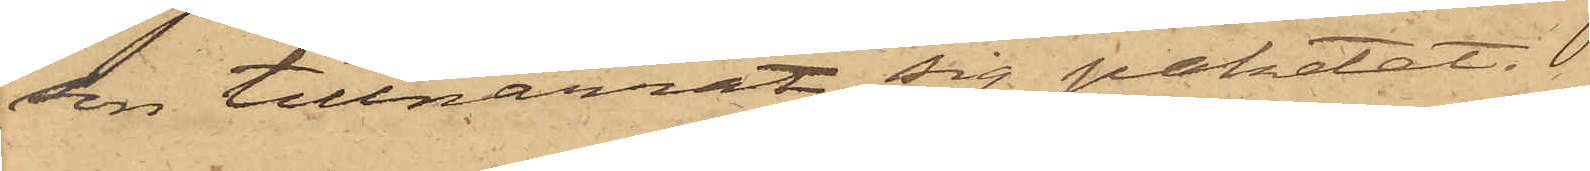son tillnarrat sig paketet.
